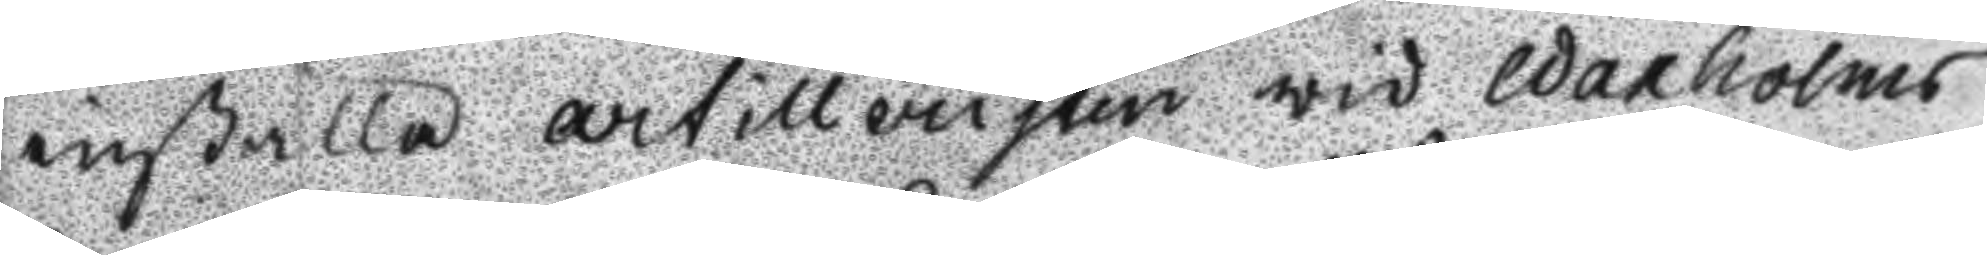inställa artilleristen wid Waxholms
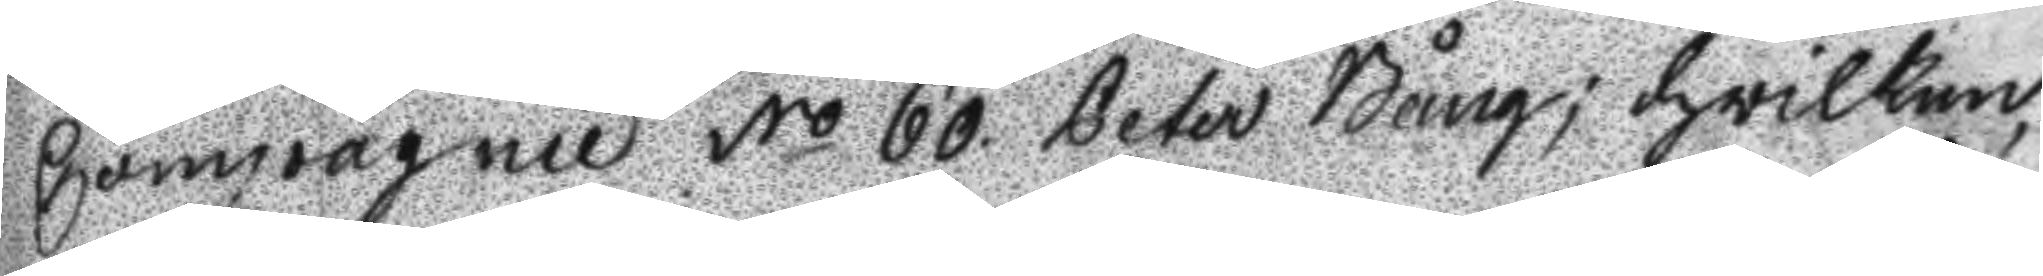Compagnie No 60 Peter Bång; hwilken
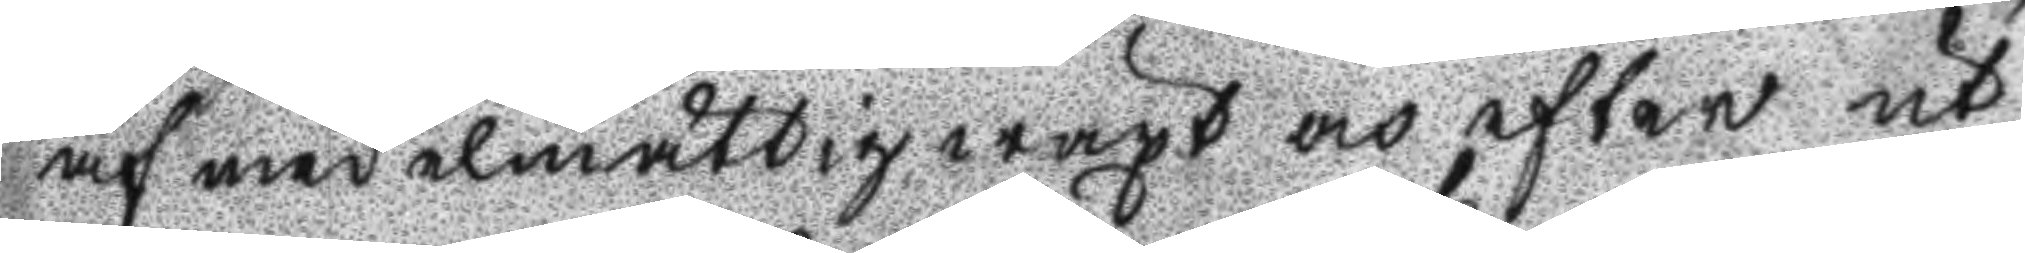af medemåttig wäxt och efter ut
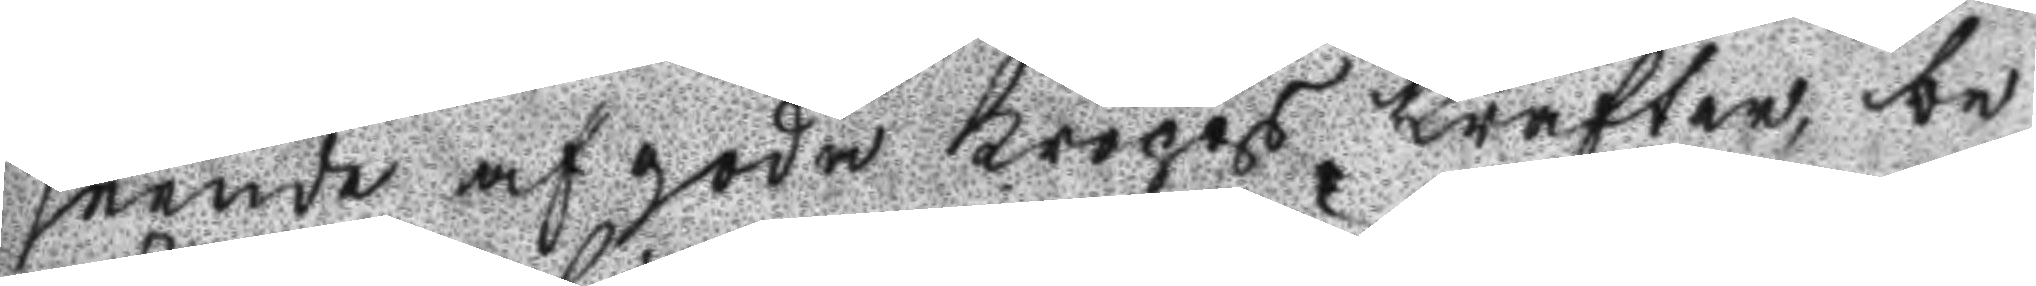seende af goda kropps krafter, be
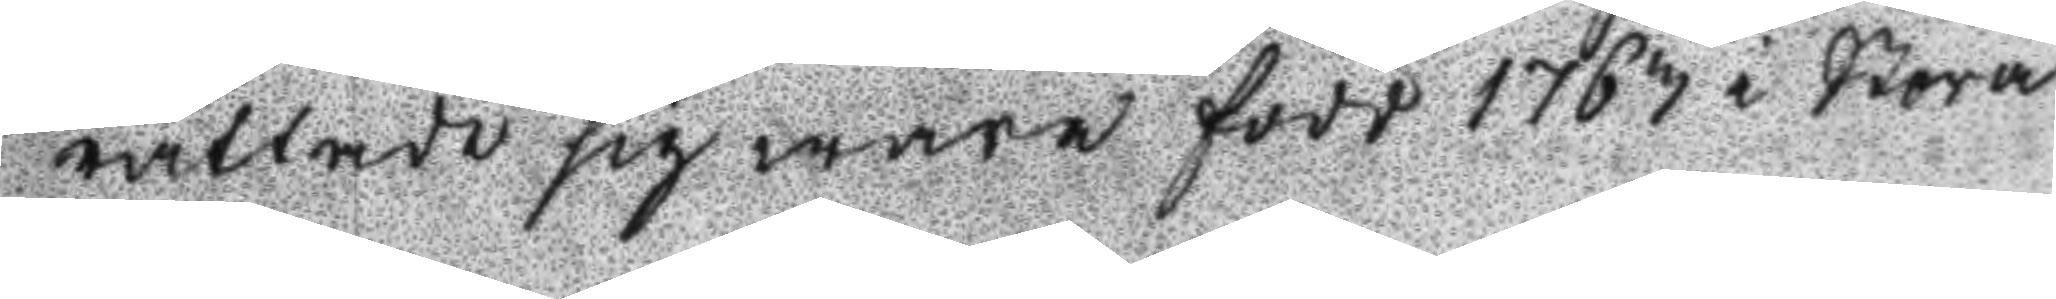rättade sig wara född 1763 i Stora
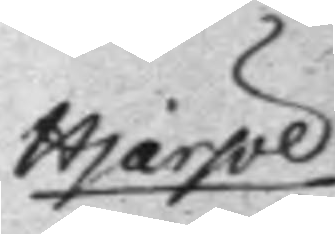Hjärpe 
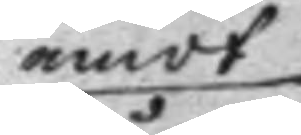emot
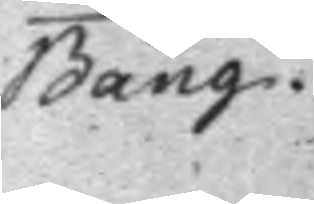Bång.
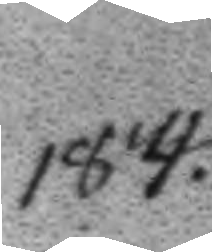184.
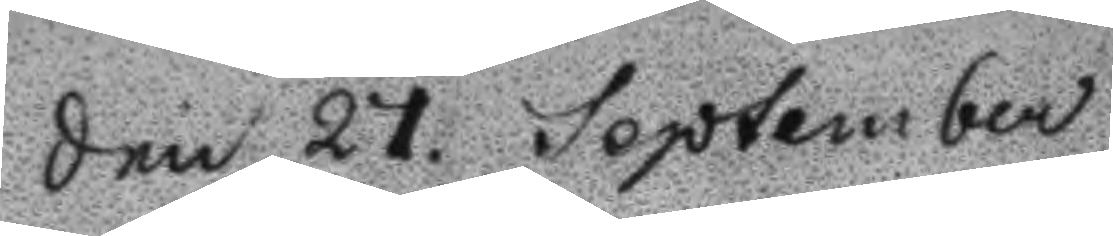Den 27 September
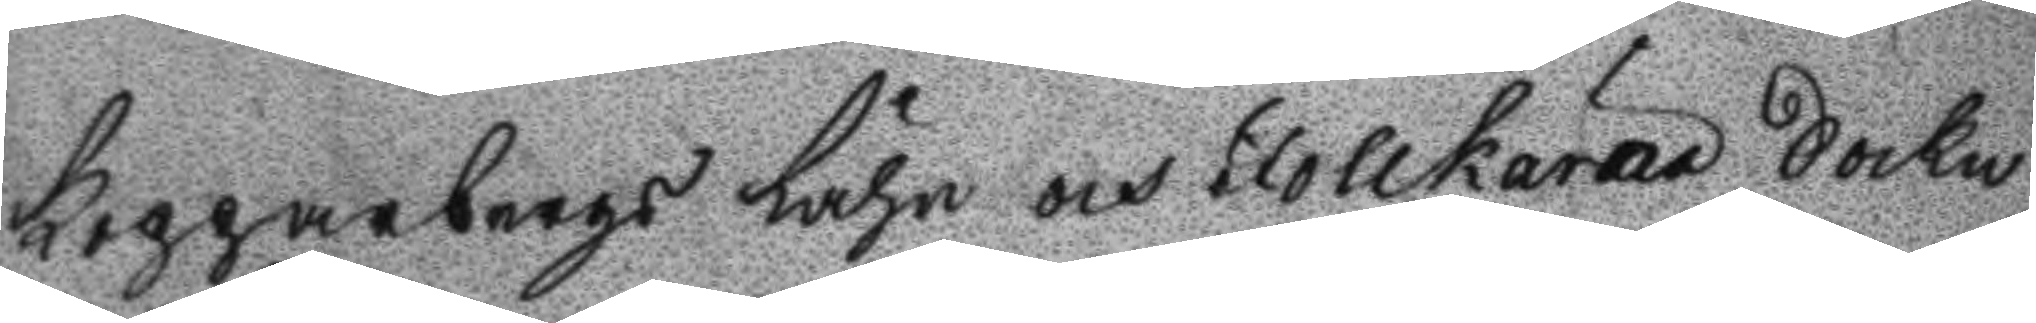Kopparbergs Lähn och Follkärna Sockn
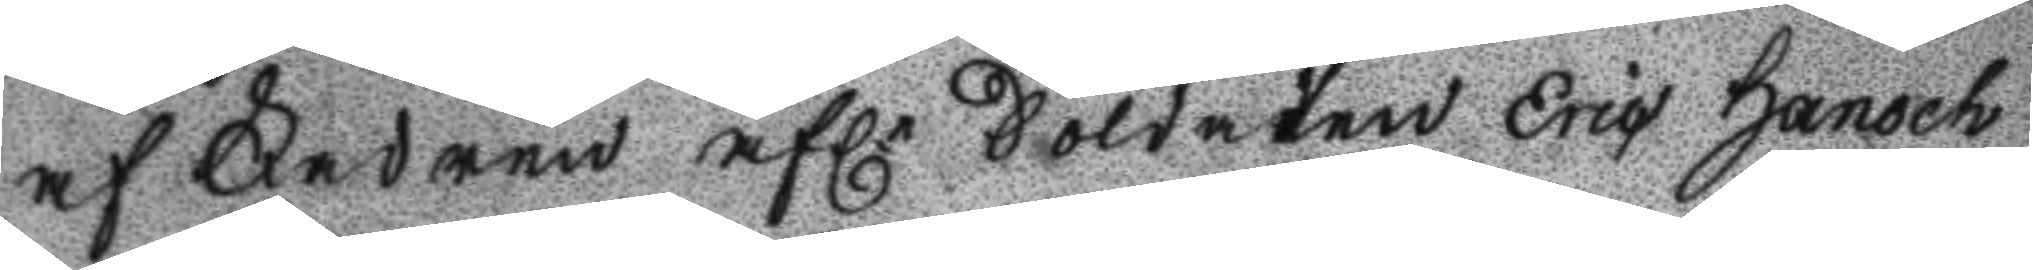af Fadren afl. Soldaten Eric Hansch
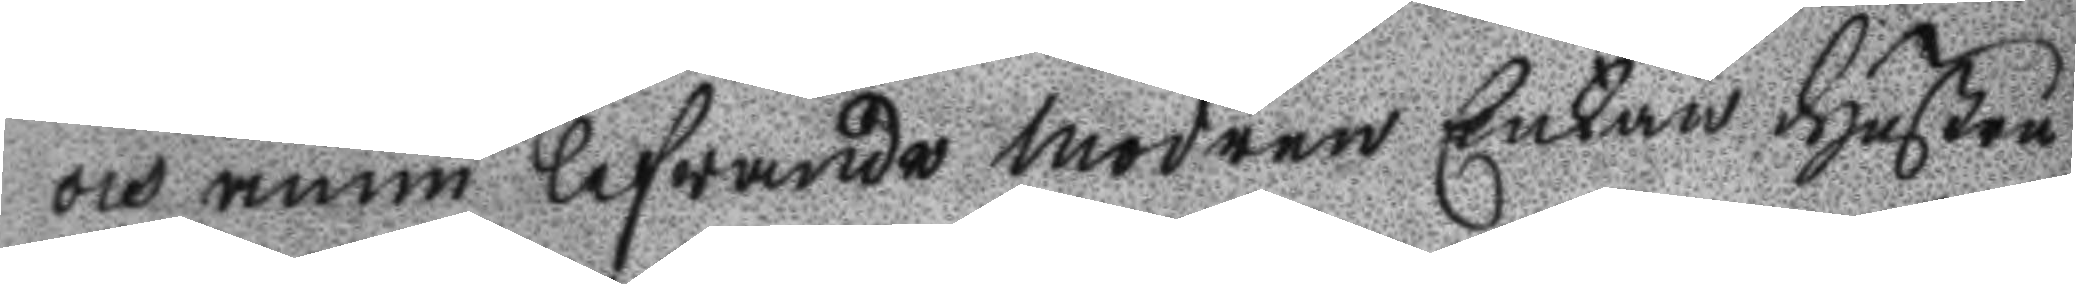och ännu lefwande modren Enkan Hustru
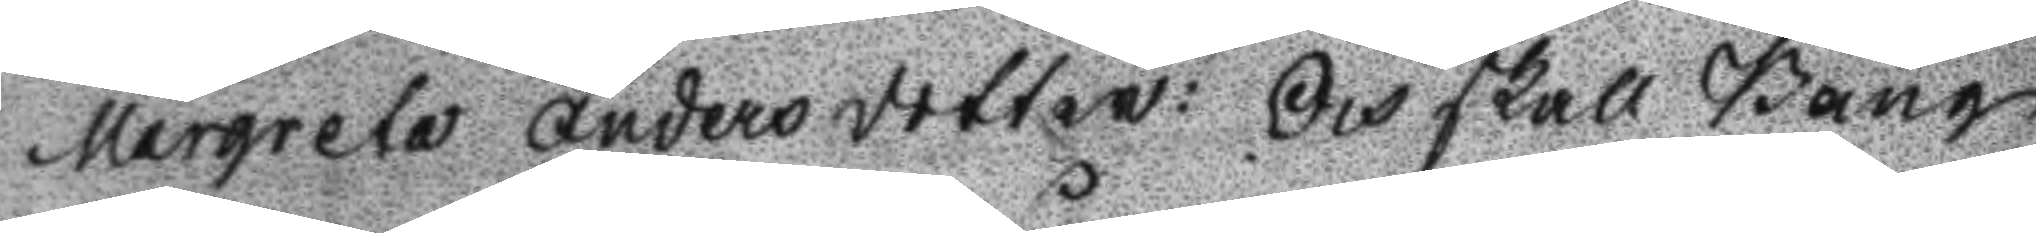Margareta Andersdotter: Och skall Bång
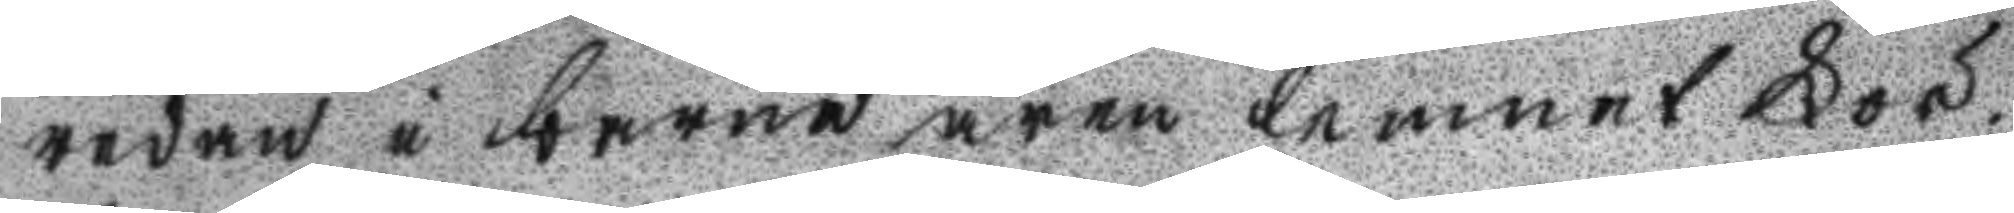redan i barnaåren lemnat För¬
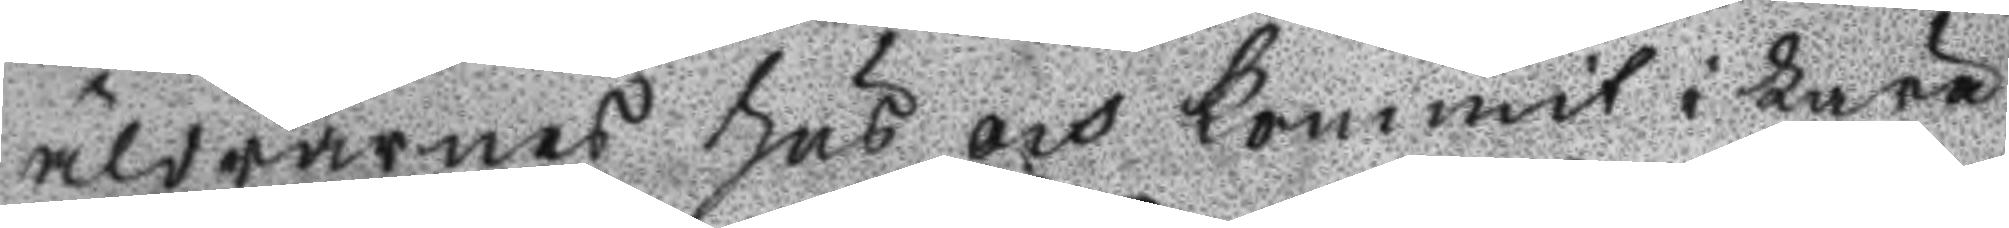äldrarnas hus och kommit i Lära
